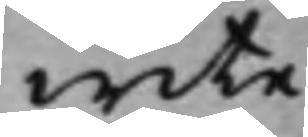wite.
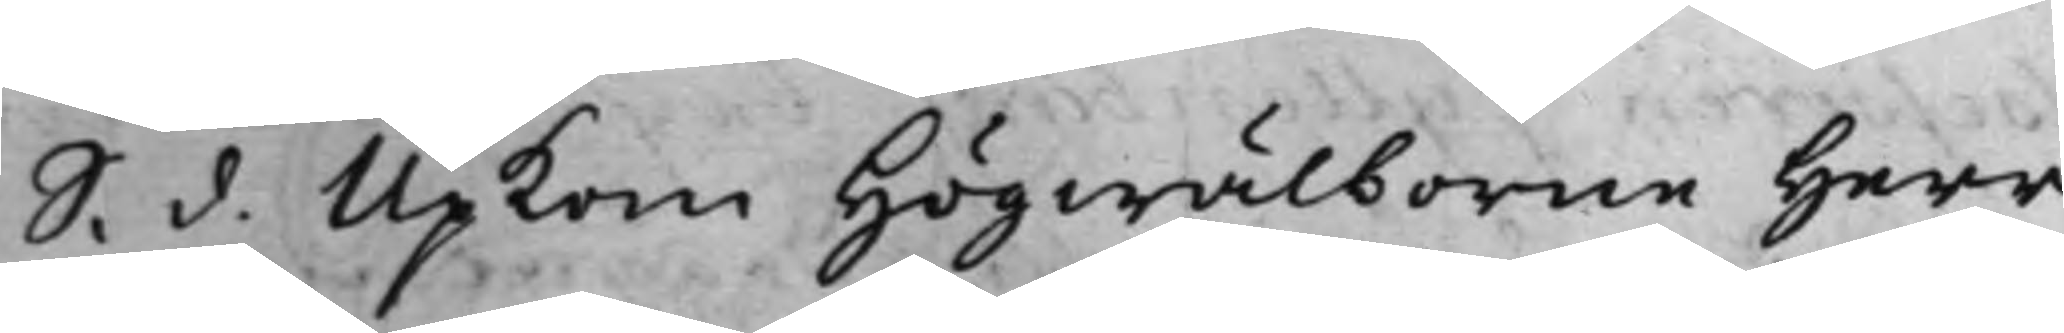S. d. Upkom Högwälborne Herr
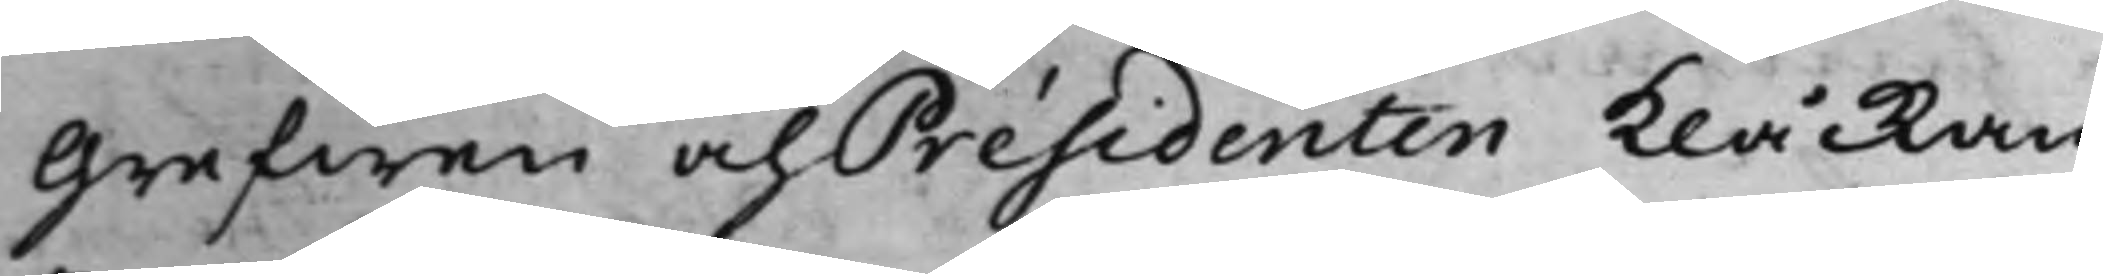Grefwen och Présidenten klåckan
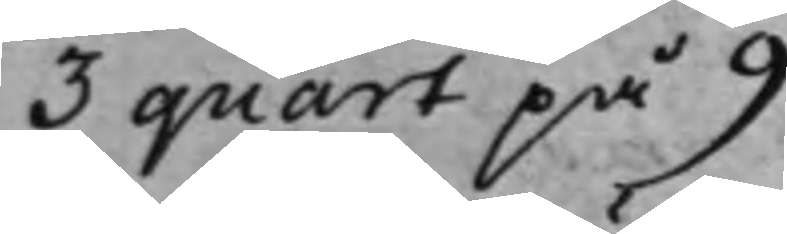3 quart på 9.
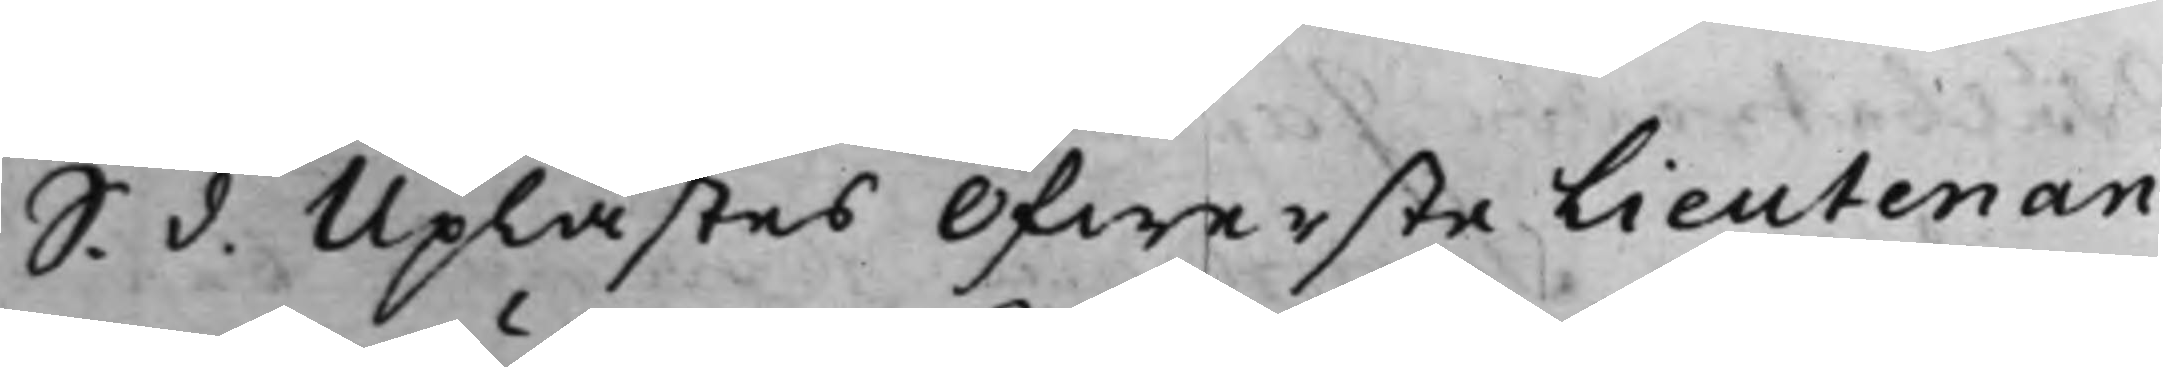S. d. Uplästes ÖfwersteLieutenan¬
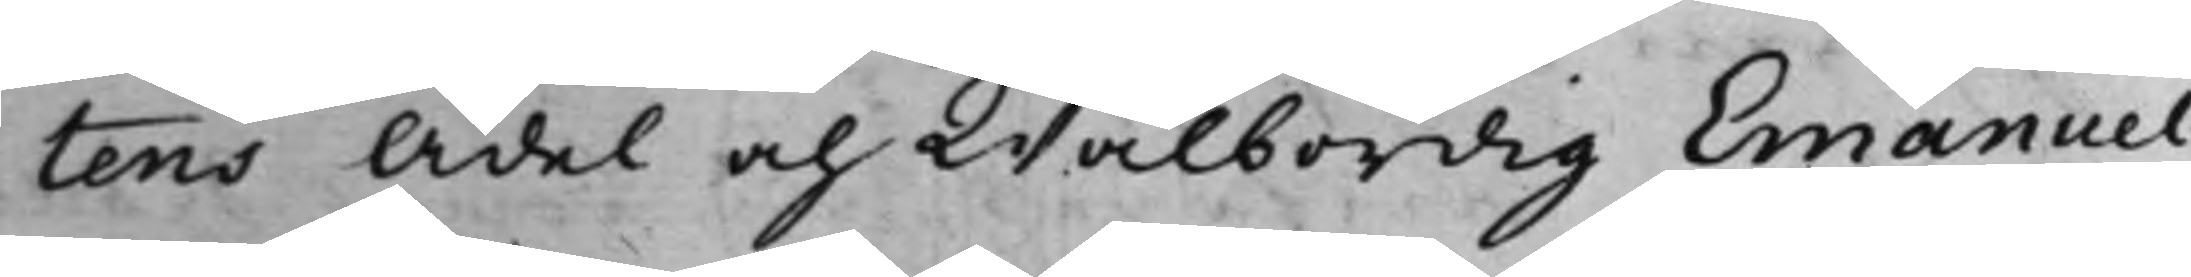tens Ädel och Wälbördig Emanuel
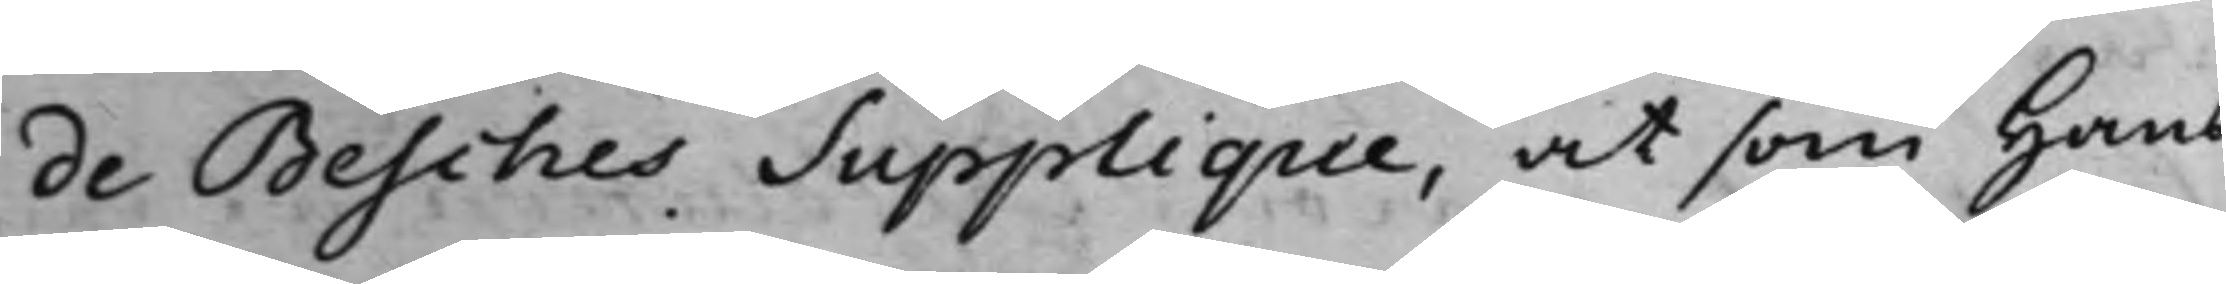de Besches Supplique, at som Hans
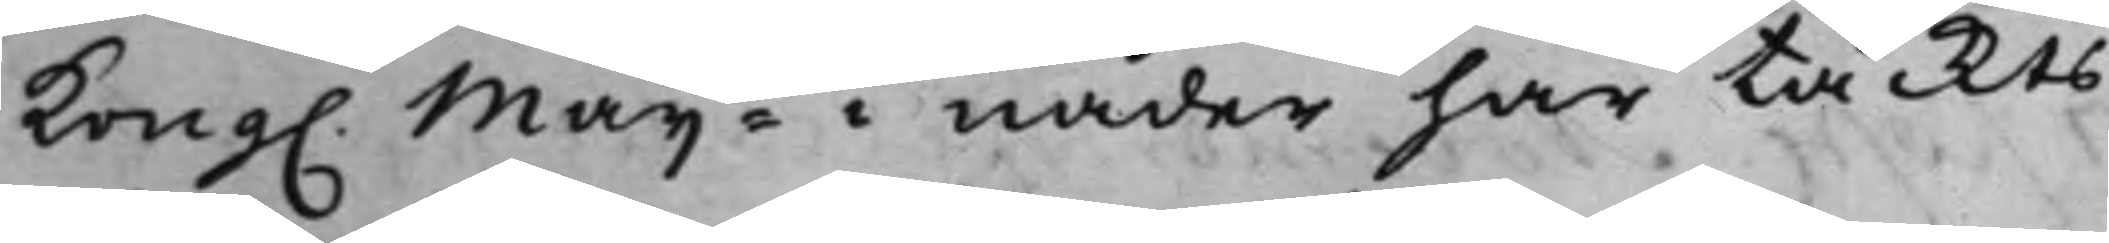Kong. Maijt i nåder här täckts
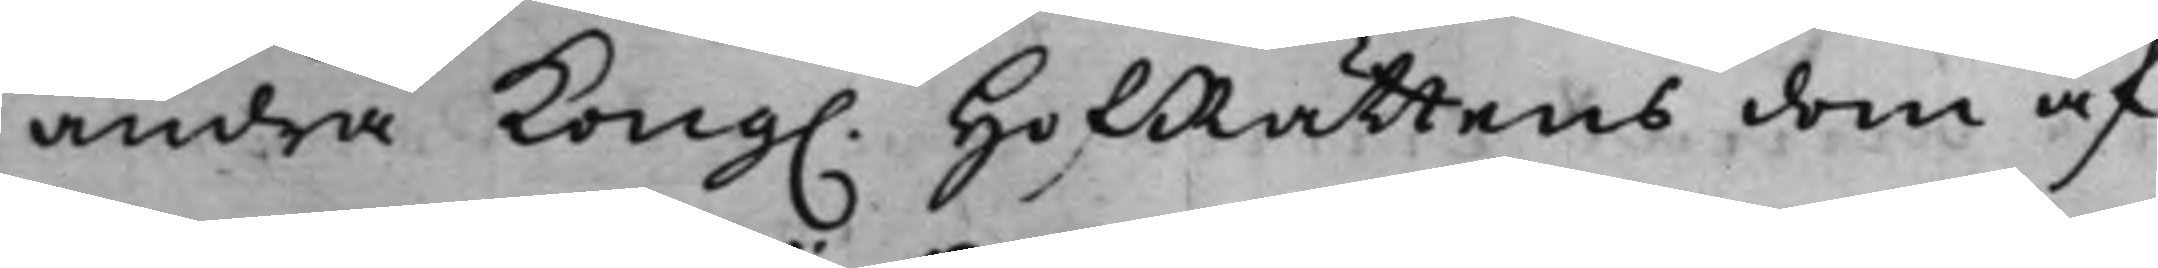ändra Kong. HofRättens dom af
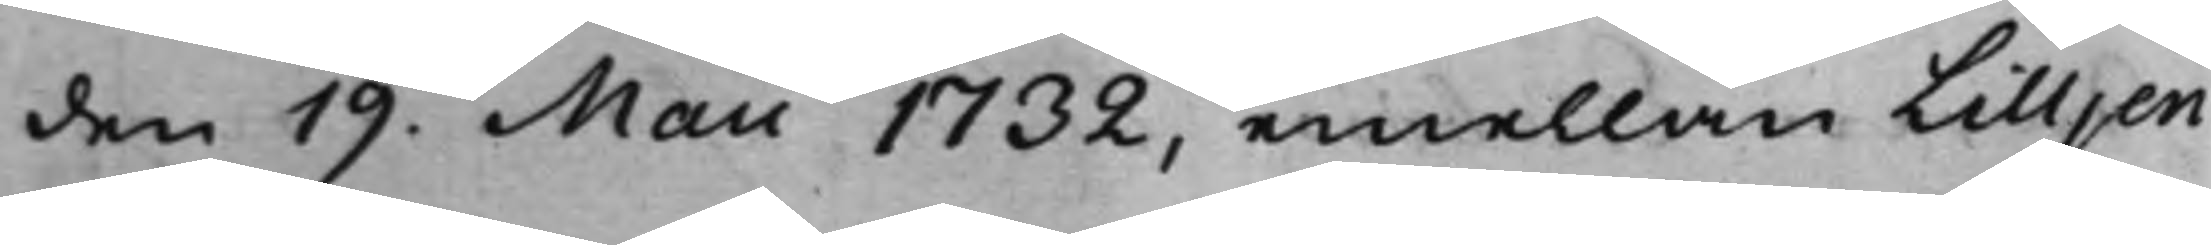den 19. Maii 1732, emellan Lilljen¬
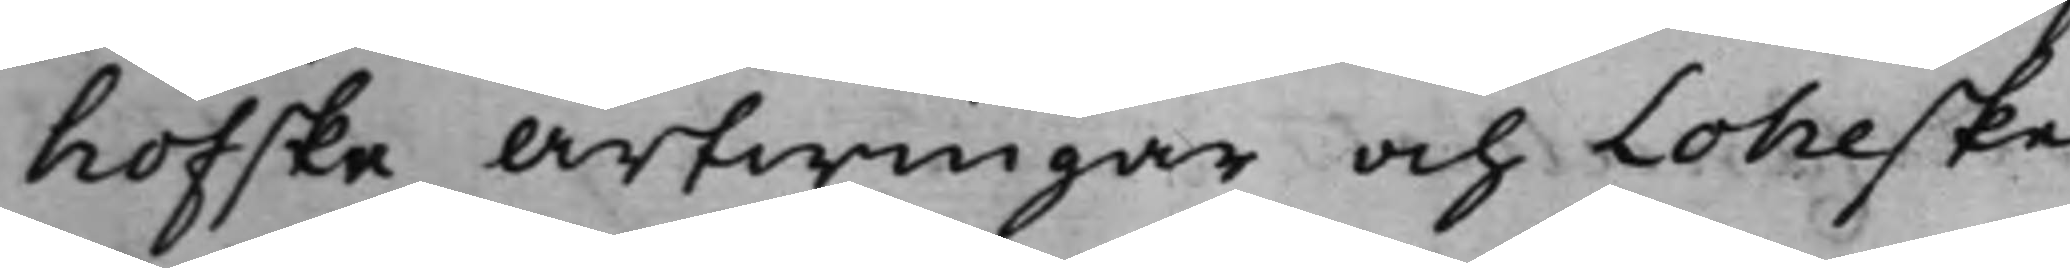hofska Arfwingar och Loheske
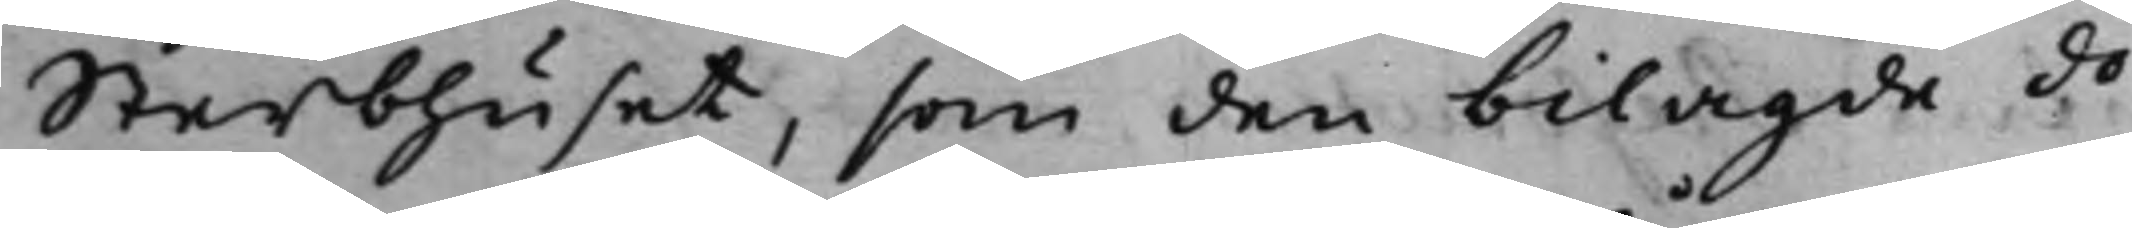Sterbhuset, som den bilagde do¬
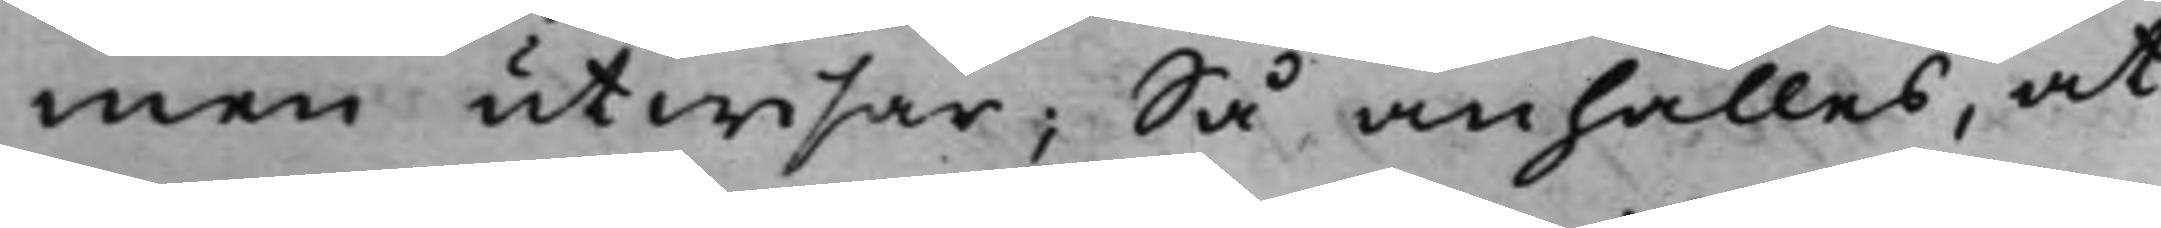men utwisar; Så anhålles, at
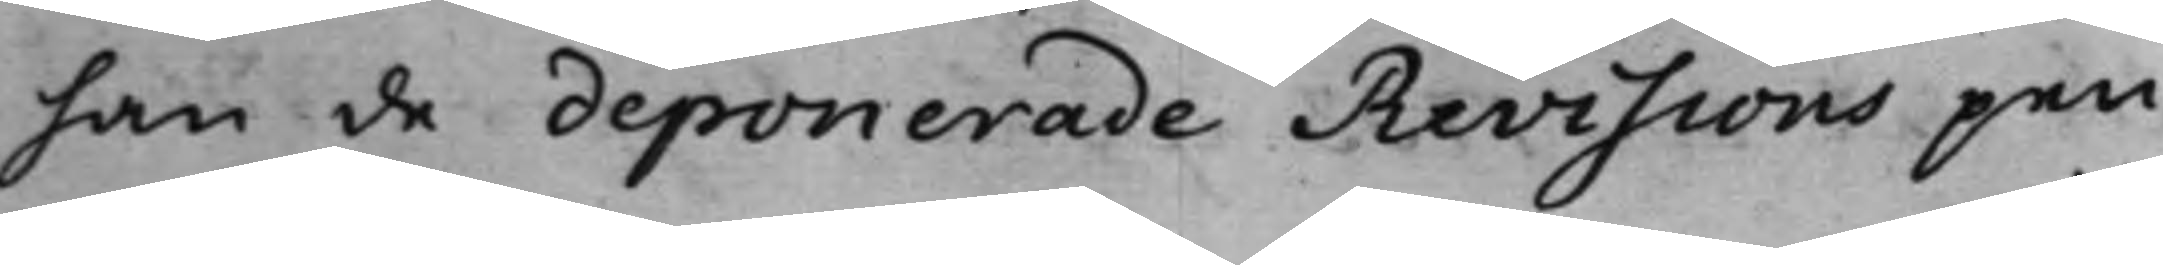han de deponerade Revisions pen¬
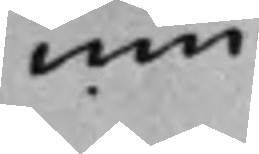nin¬
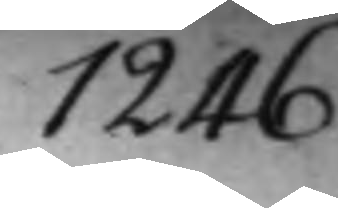1246
